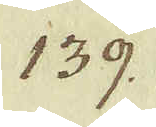139.
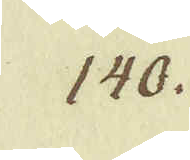140.
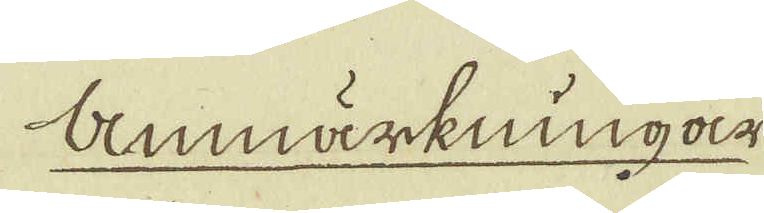Anmärkningar
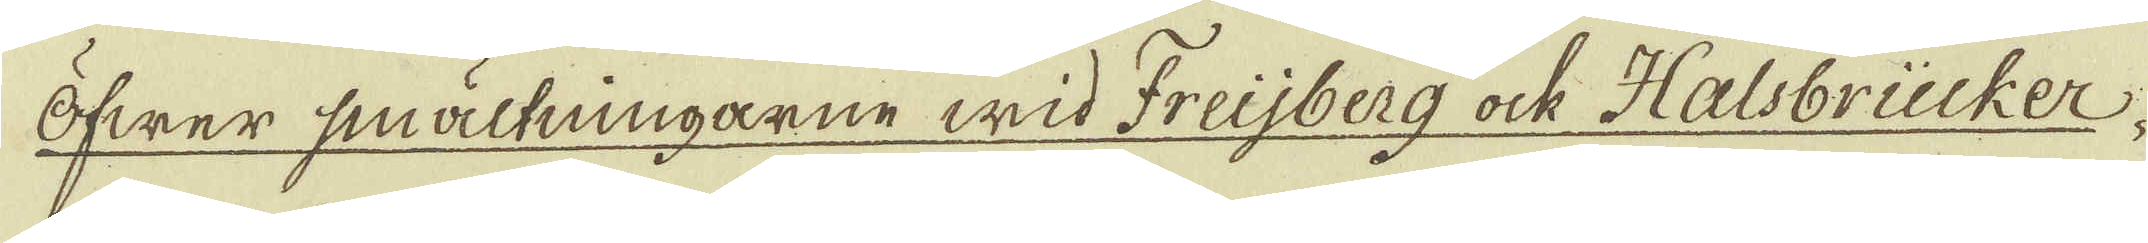Öfwer smältningarne wid Freijberg ock Halsbrücker.
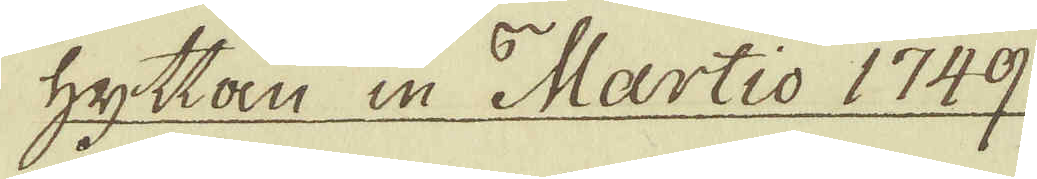hyttan in Martio 1749.
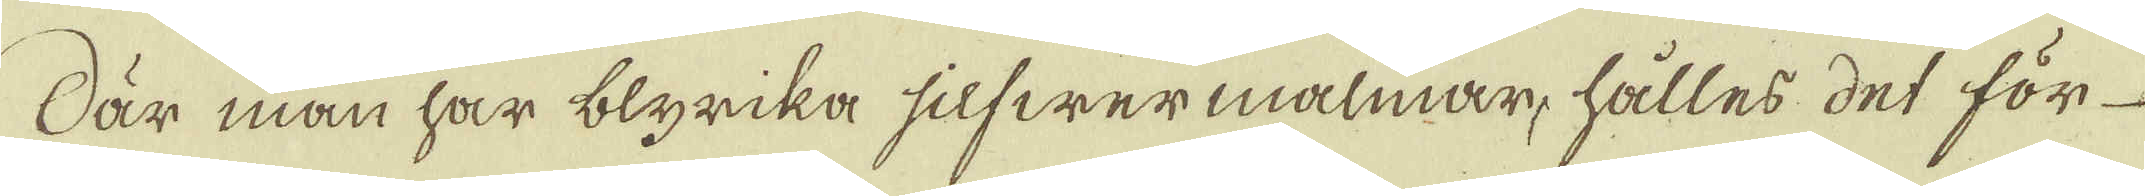När man har blyrika silfwermalmar, hålles det för
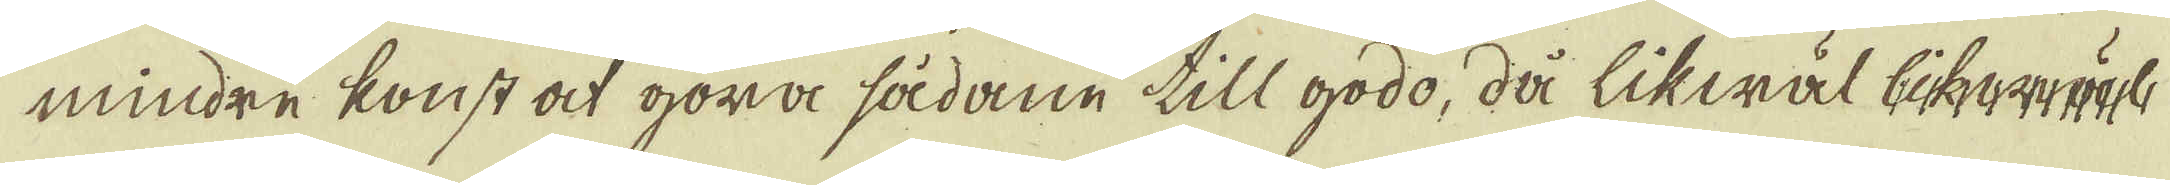mindre konst at göra sådane till godo, då likwäl likwäct
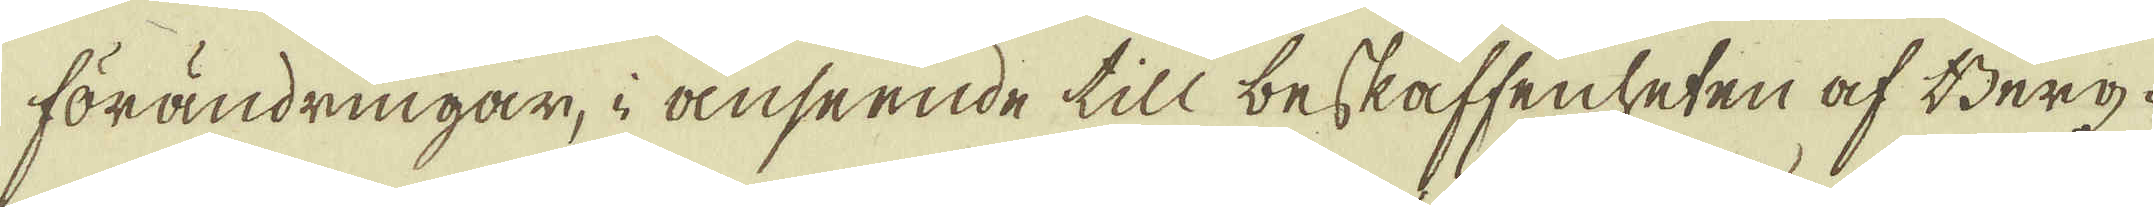förändringar, i anseende till beskaffenleten af Berg-
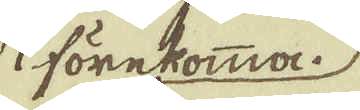förekomma.
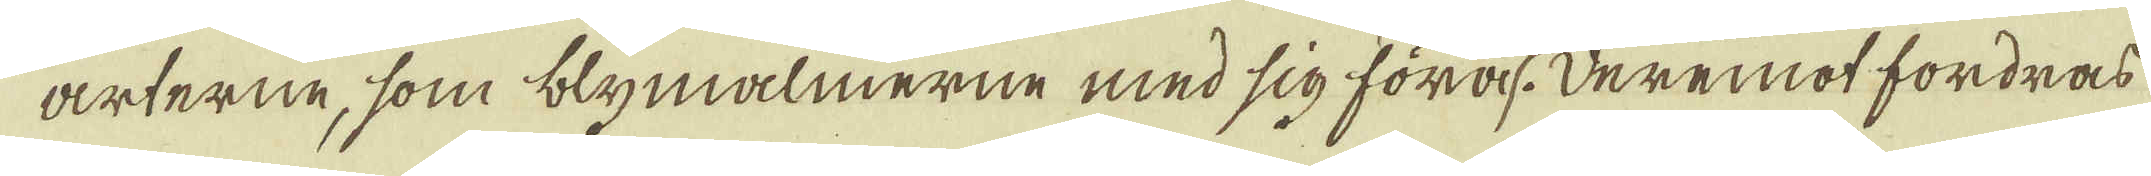arterne, som blymalmerne med sig föras. Deremot fordras
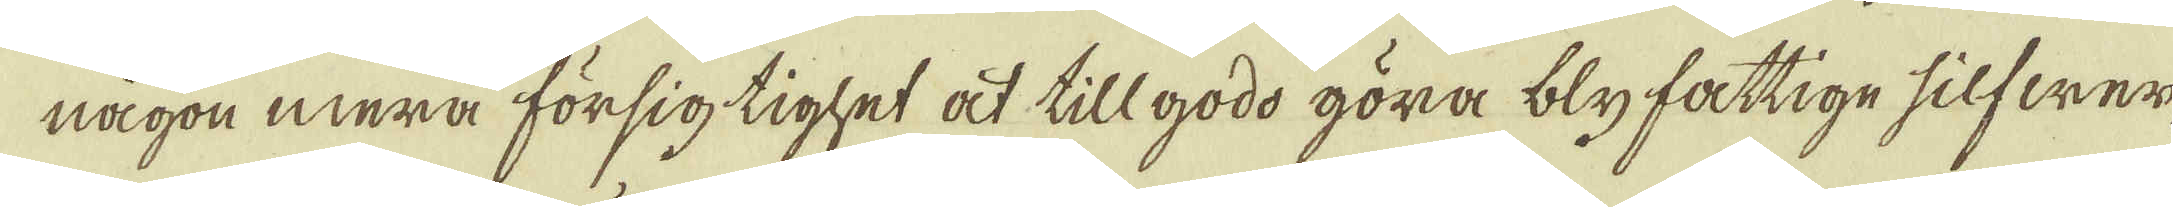någon mera försig tighet at tillgodo göra blyfattige silfwer
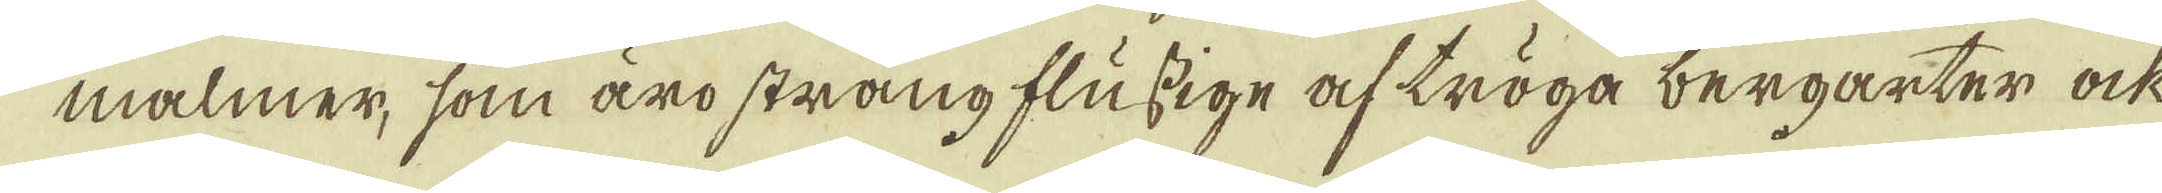malmer, som äro strångflussige af tröga bergarter ock
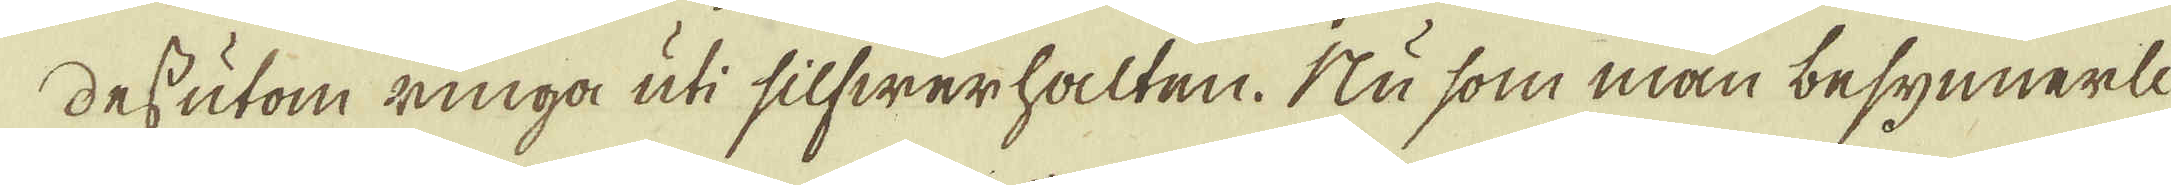dessutom ringa uti silfwerhalten. Nu som man besynnerli-
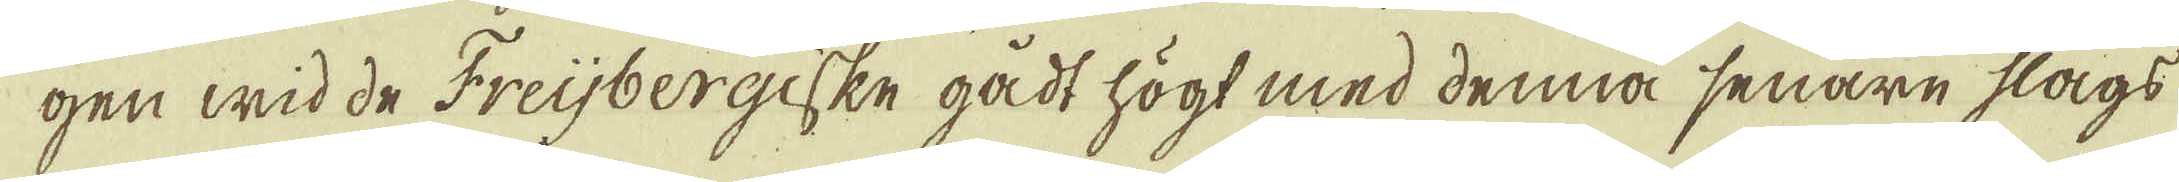gen wid de Freijbergiske gådt högt med denna senare slags
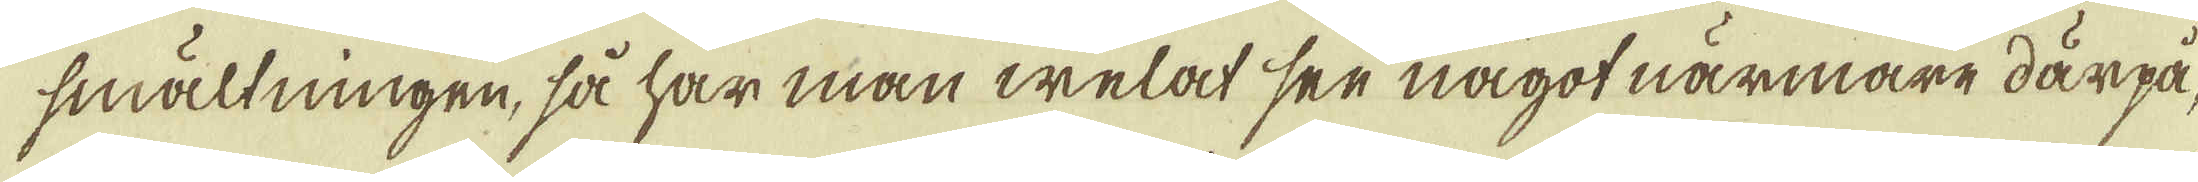smältningen, så har man welat ser något närmare därpå,
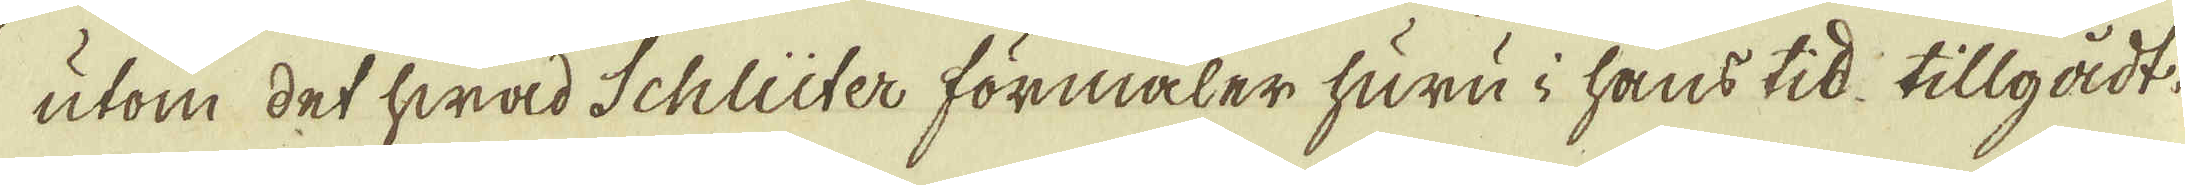utom det hwad Schlüter förmaler huru i hans tid tillgådt
